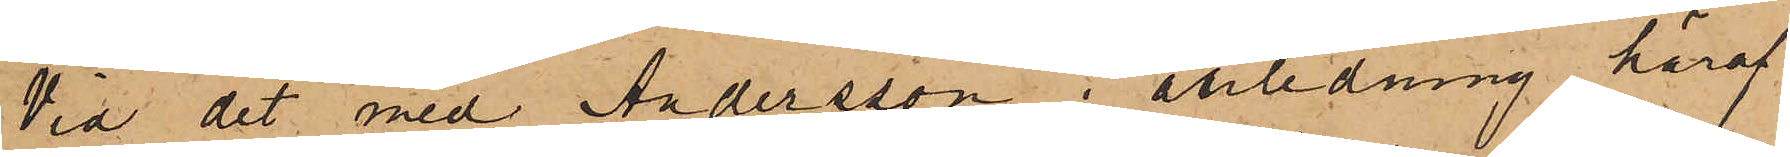Vid det med Andersson i anledning häraf
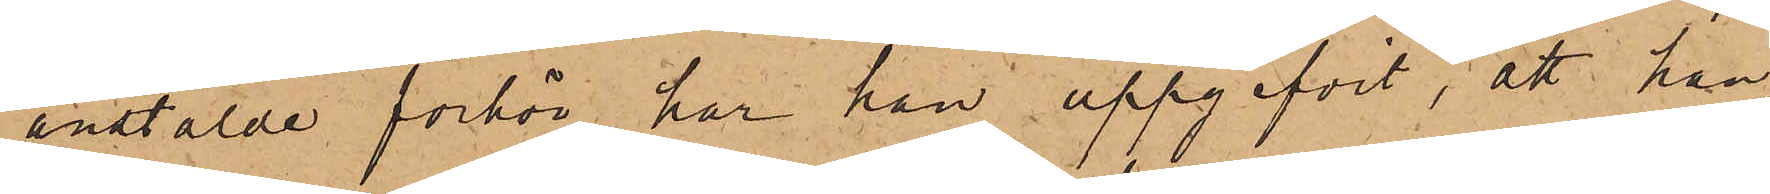anstälde förhör har han uppgifvit, att han,
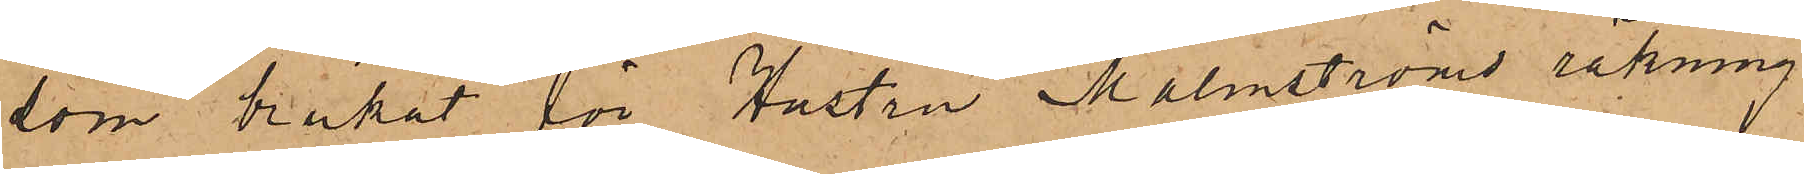som brukat för Hustru Malmströms räkning
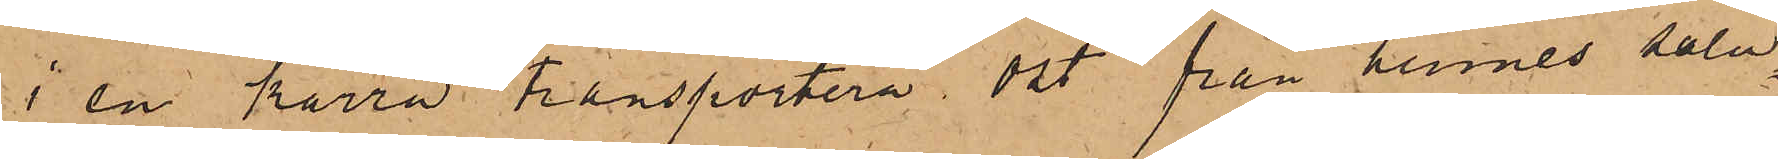i en kärra transportera ost från hennes salu¬
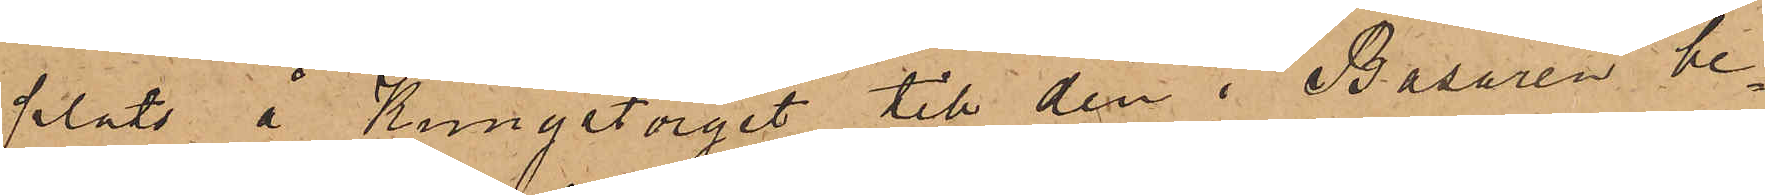plats å Kungstorget till den i Bazaren be¬
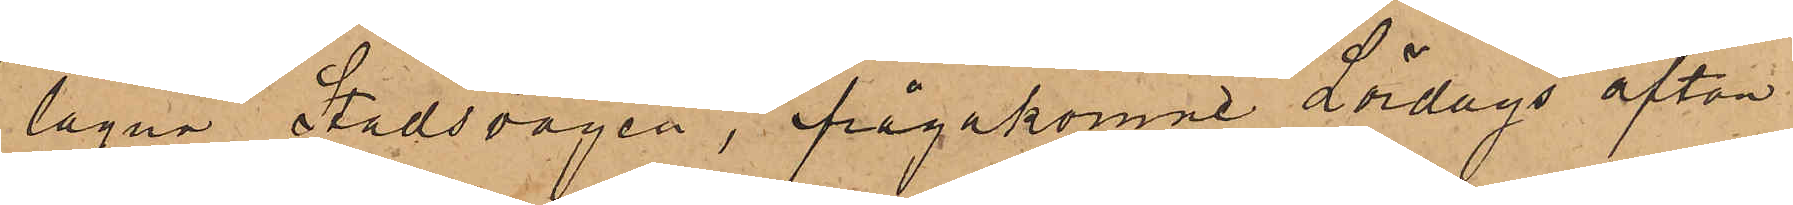lägna Stadsvågen, ifrågakomne Lördags afton
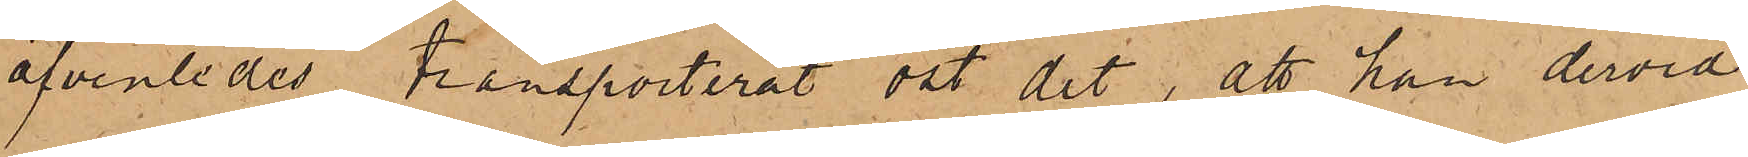äfvenledes transporterat ost dit, att han dervid
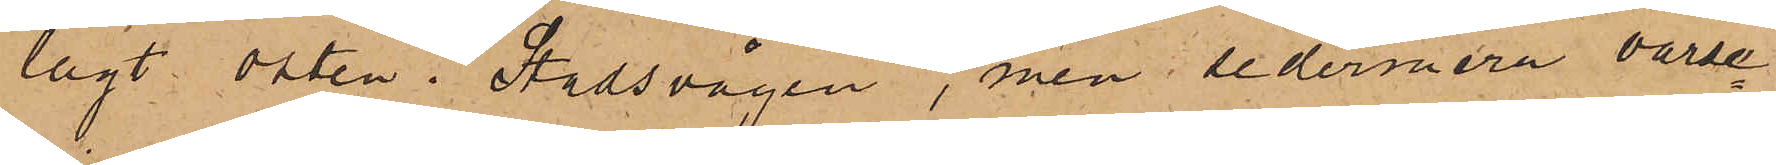lagt osten i Stadsvågen, men sedermera varse¬
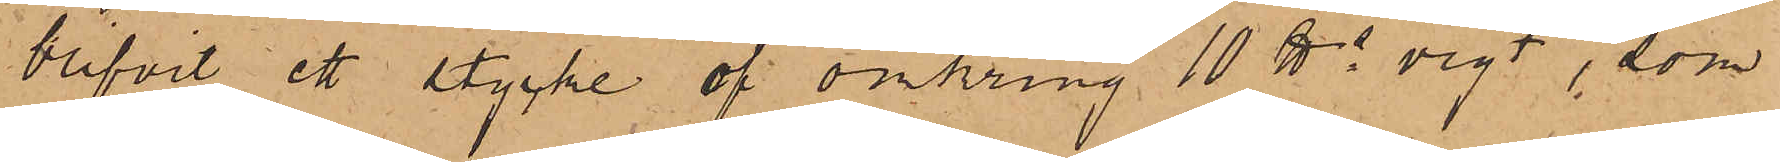blifvit ett stycke af omkring 10 ℔ vigt, som
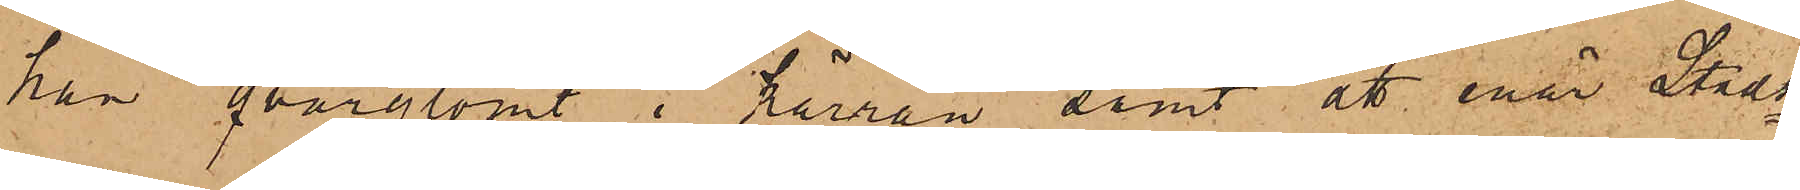han qvarglömt i kärran samt att enär Stads¬
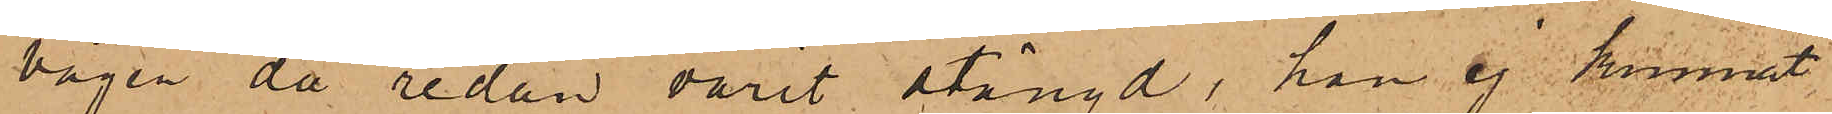vågen då redan varit stängd, han ej kunnat
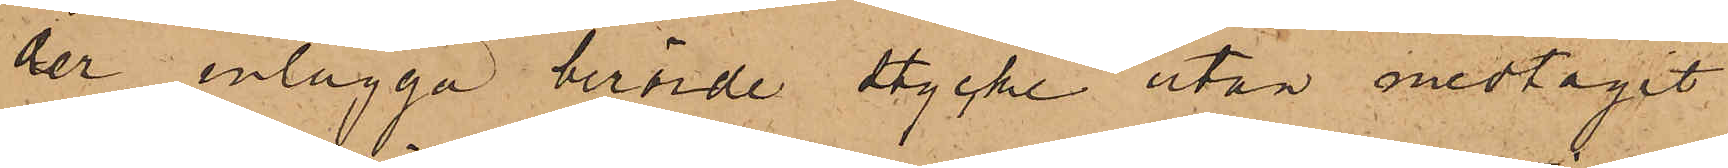der inlägga berörde stycke utan medtagit
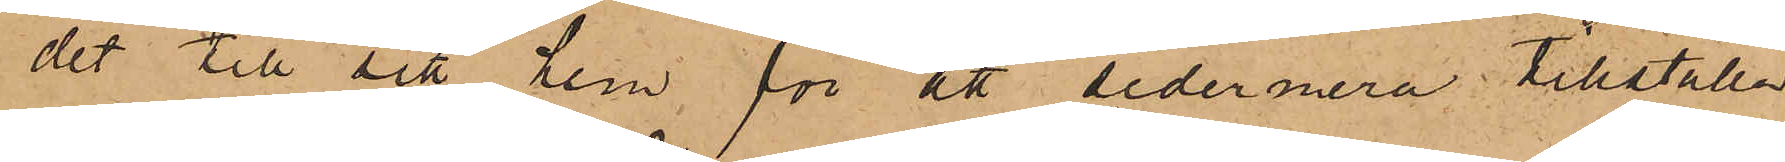det till sitt hem för att sedermera tillställa
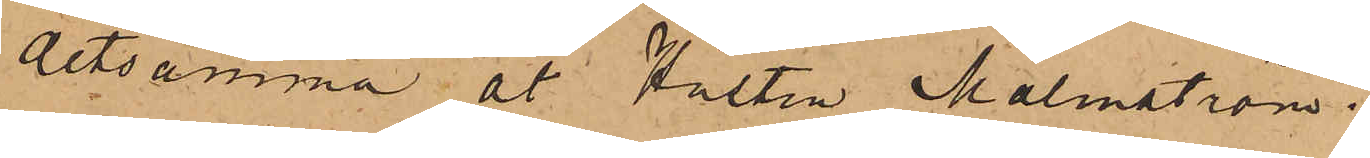detsamma åt Hustru Malmström.
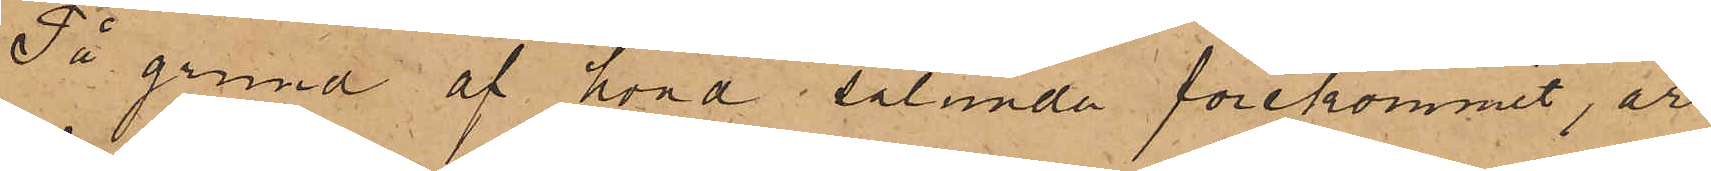På grund af hvad sålunda förekommit, är
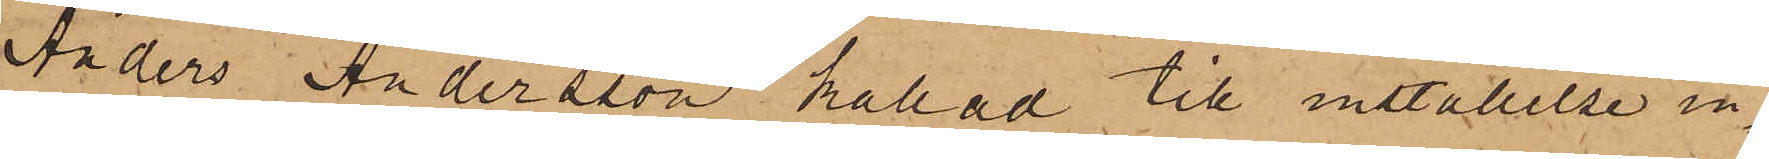Anders Andersson kallad till inställelse in¬
